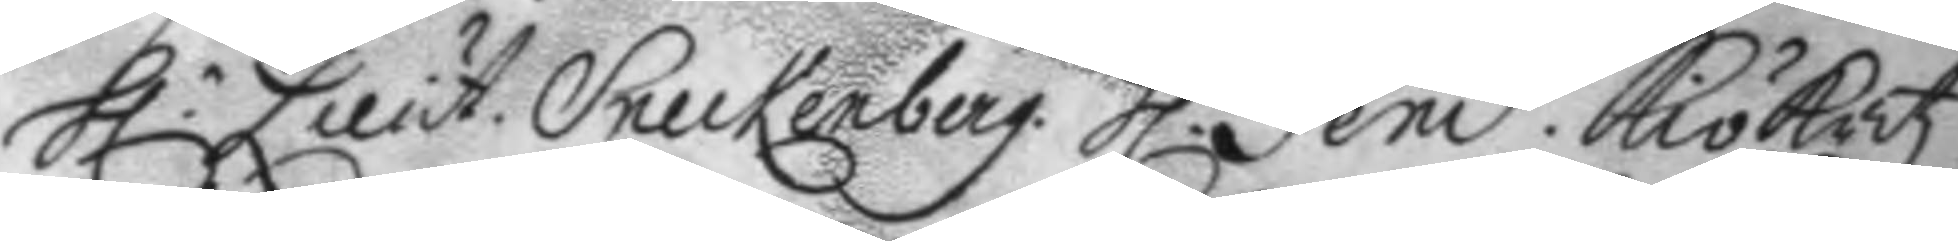h.r Lieut. Sneckenberg. h.r Fend. Kiökritz.
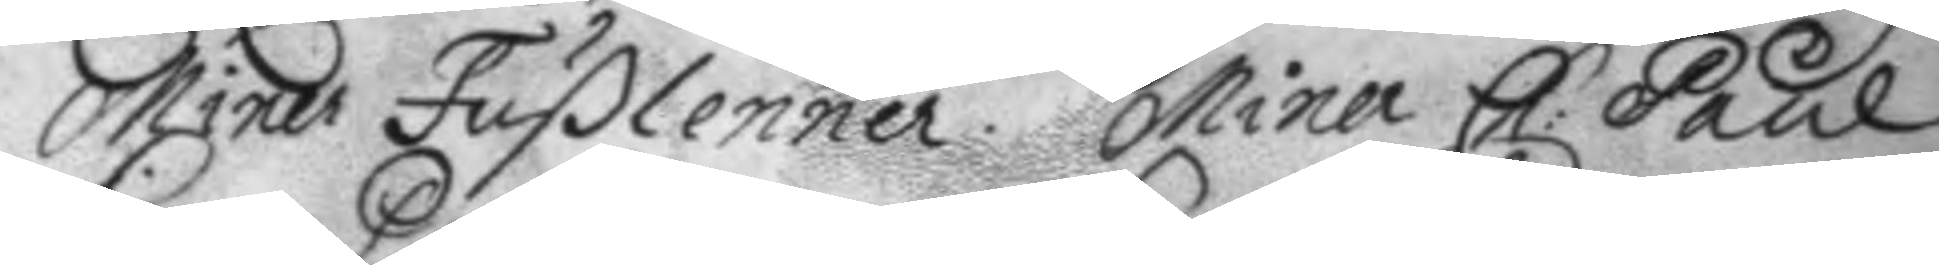Miner Fußlenner. Miner Ch: Paul
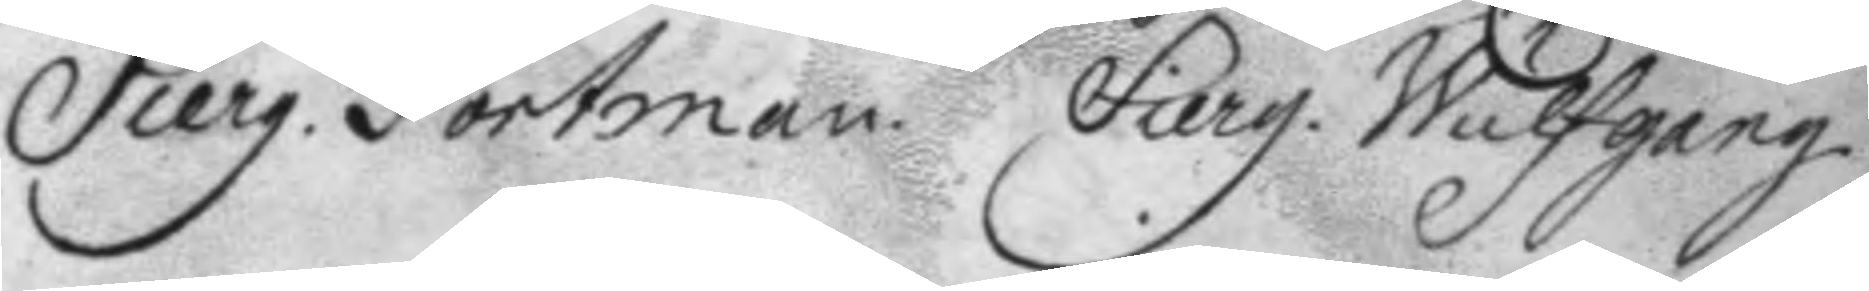Sierg. Portman. Sierg. Wulfgang.
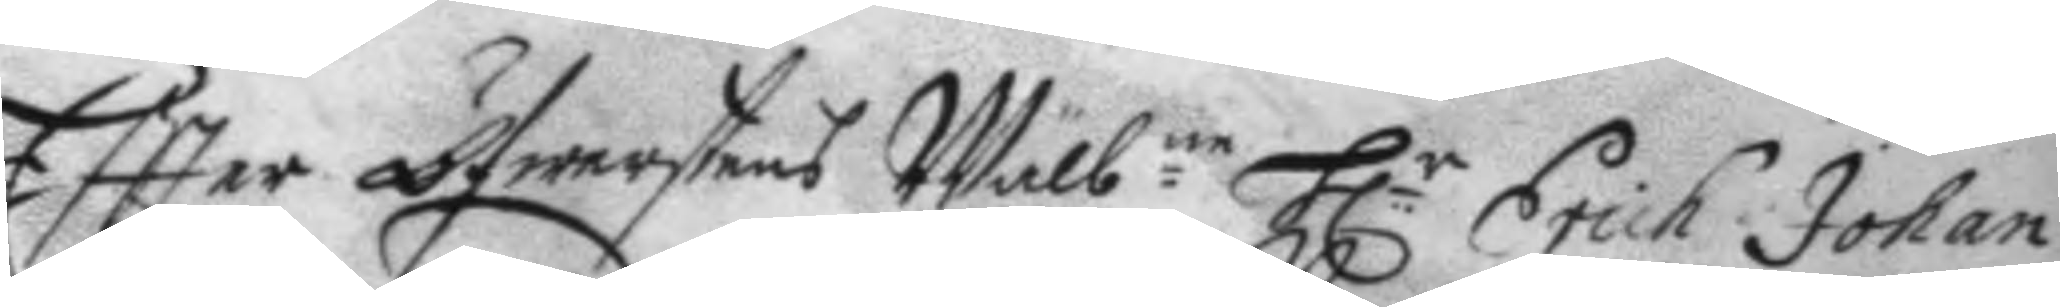Eftter Öfwerstens Wälb.ne h.r Erich Johan
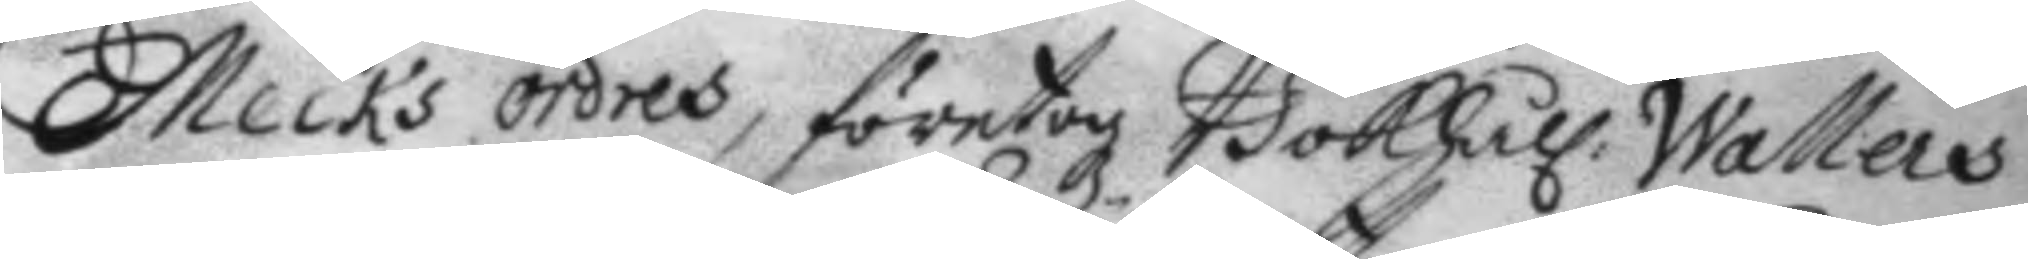Mecks ordres, företogz Bokhåll: Wallers
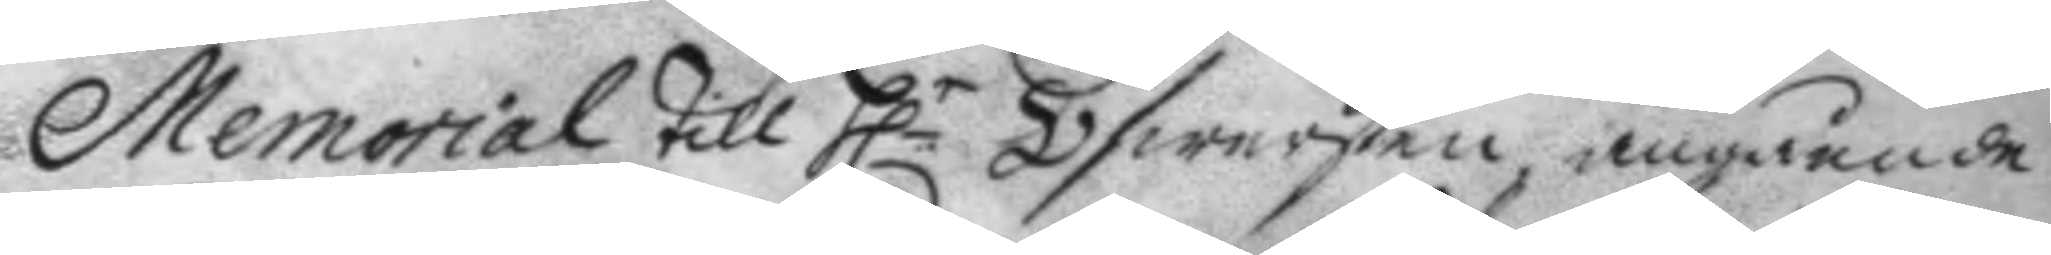Memorial till h.r Öfwersten angående
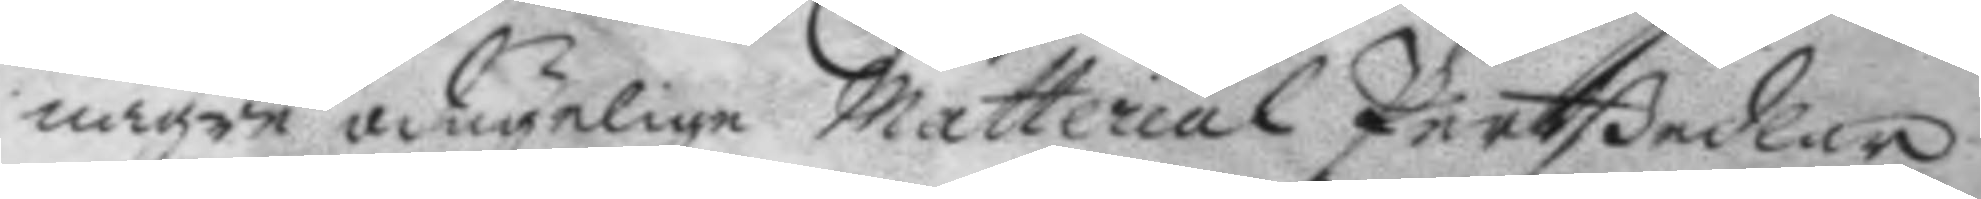några odugelige Matterial Pertßedlar
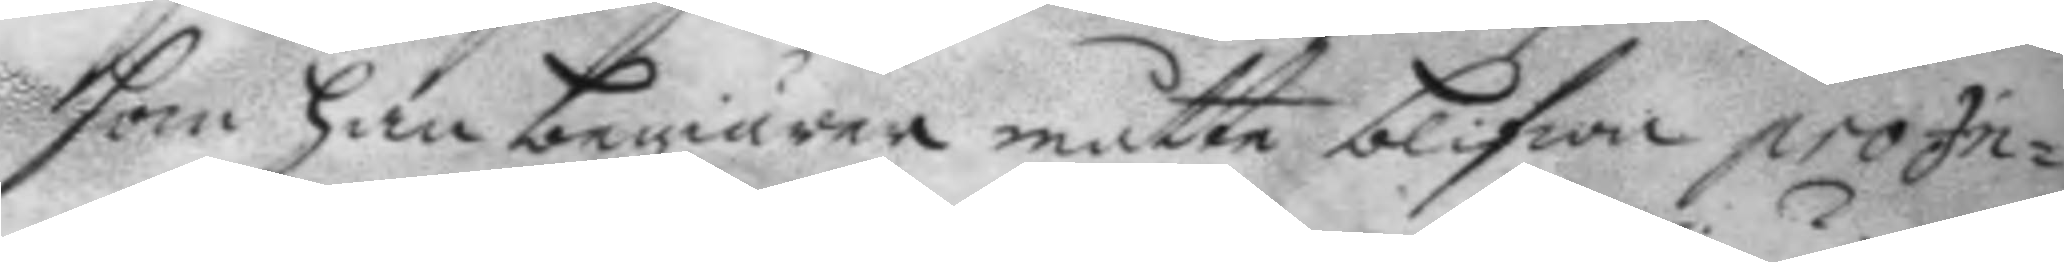som han begiärer måtte blifwa pro In¬
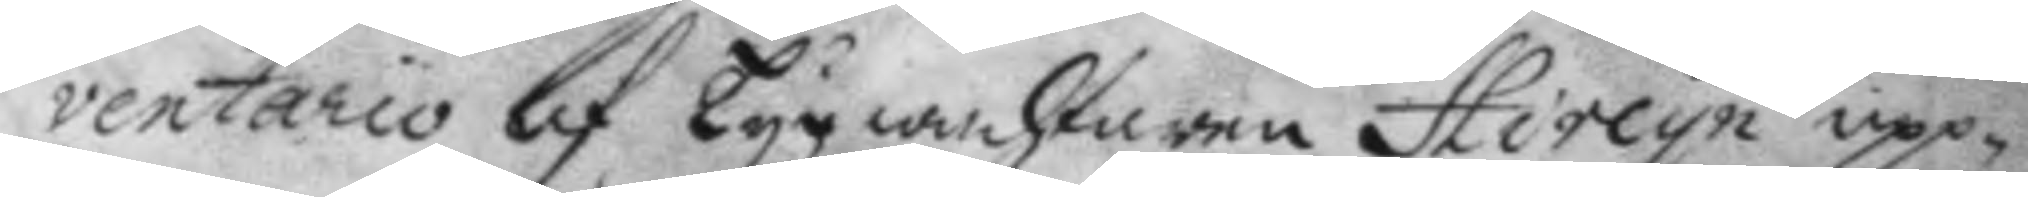ventario af Tygwachtaren Hircyn upp¬
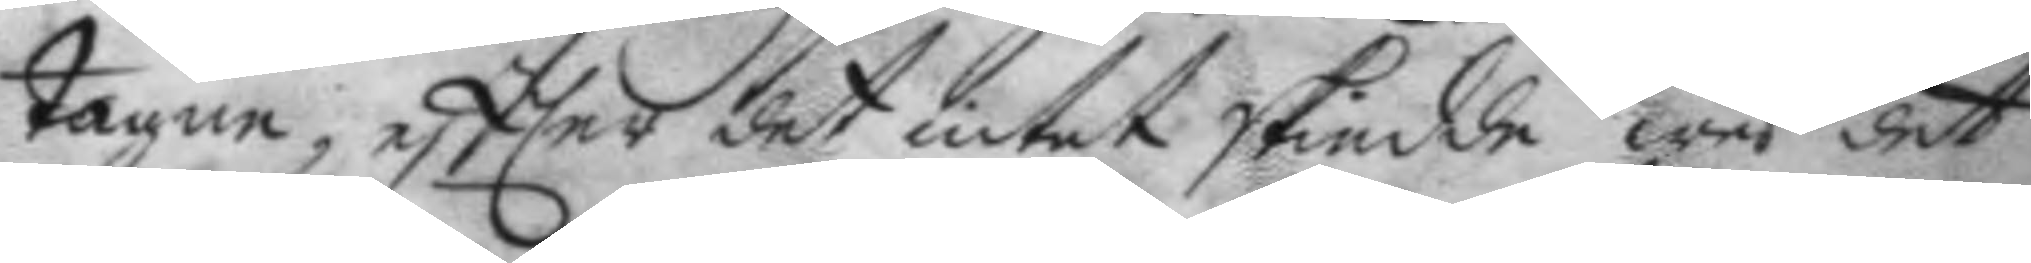tagne, eftter det intet skiedde wed det
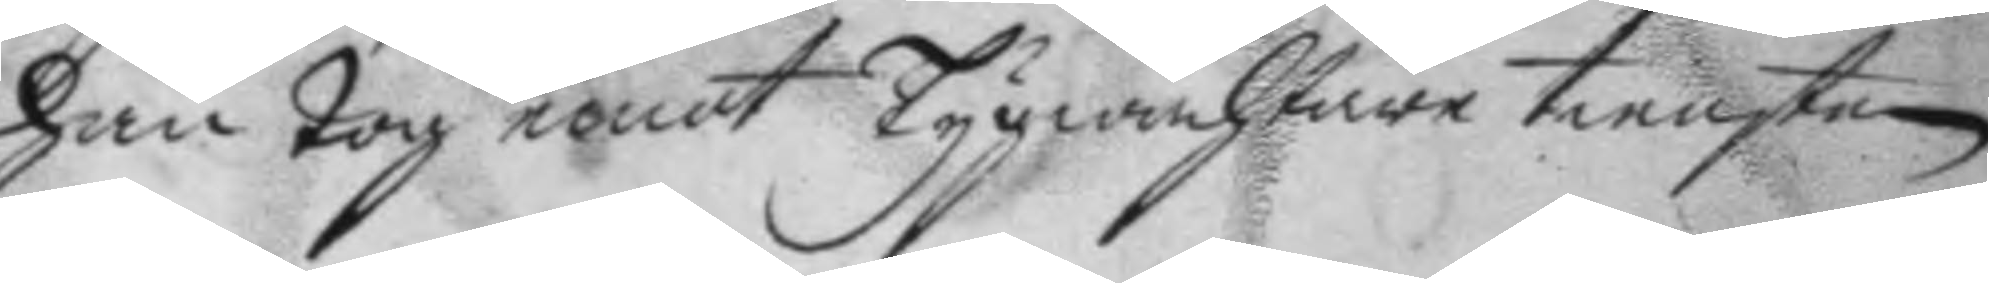han tog emot Tygwachtare tiensten
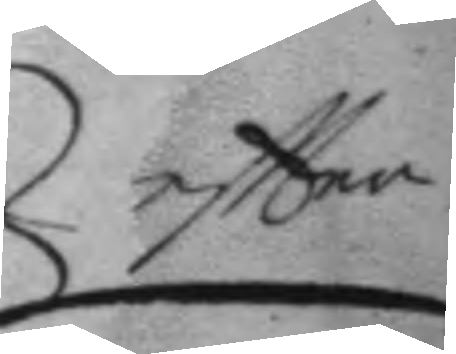eftter
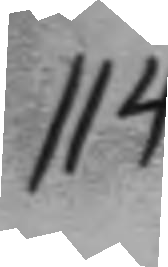114.
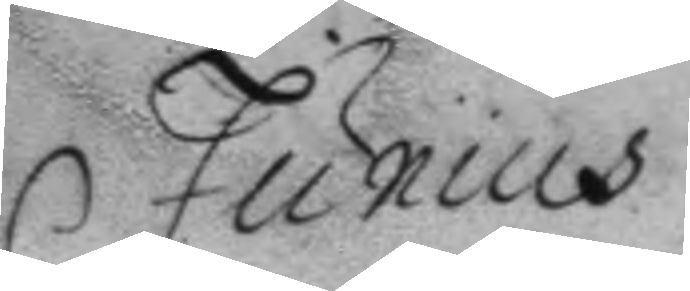Junius
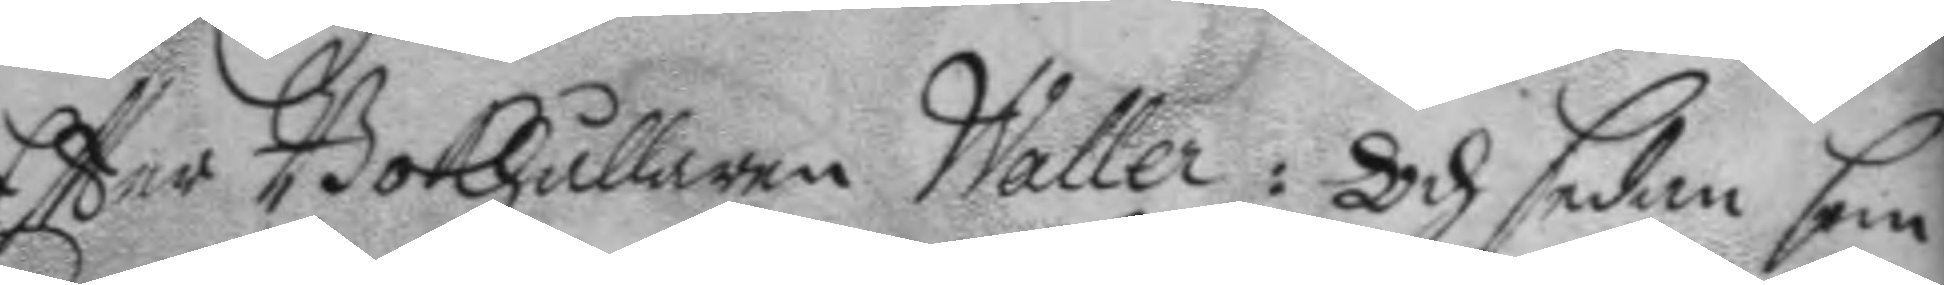Eftter Bokhållaren Waller: Och sedan som
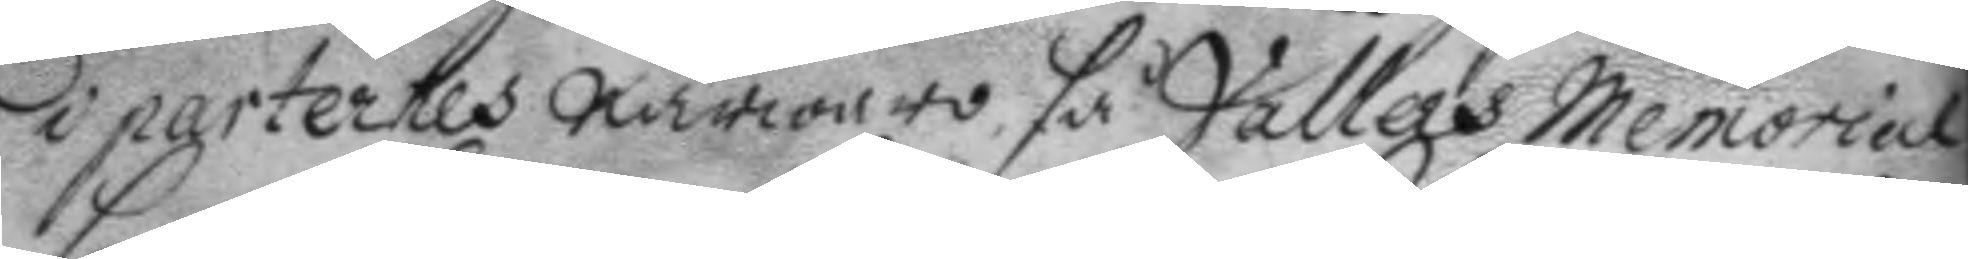i parternes närwaro så Vallers Memorial
